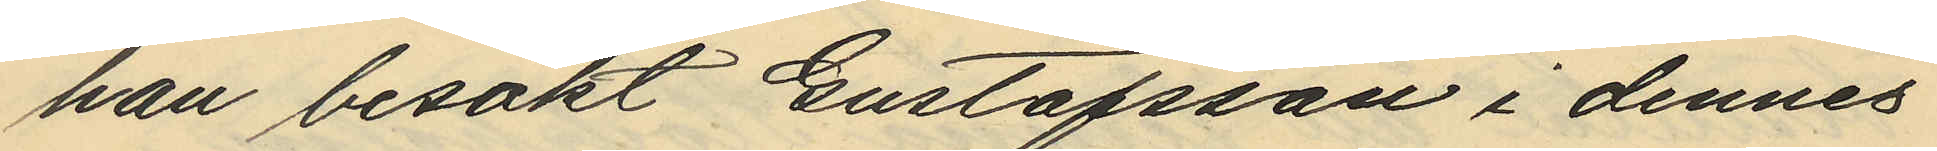han besökt Gustafsson i dennes
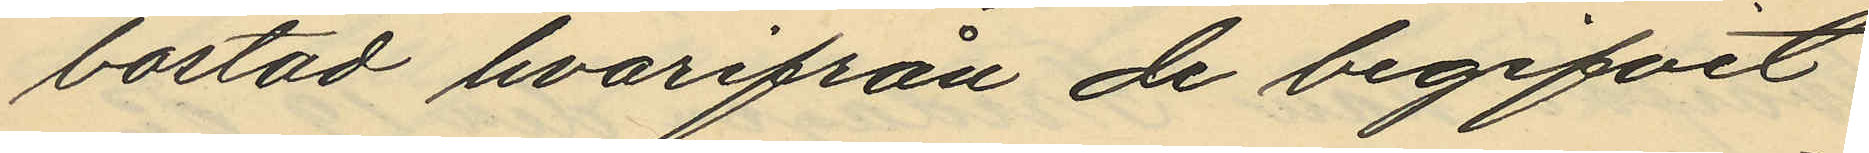bostad hvarifrån de begifvit
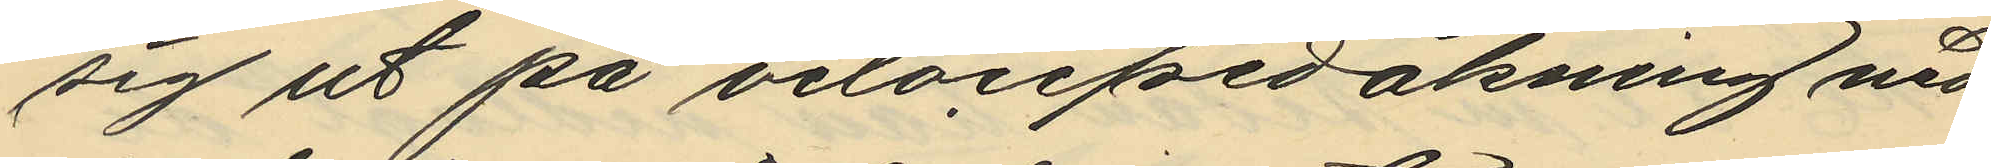sig ut på velocipedåkning ned¬
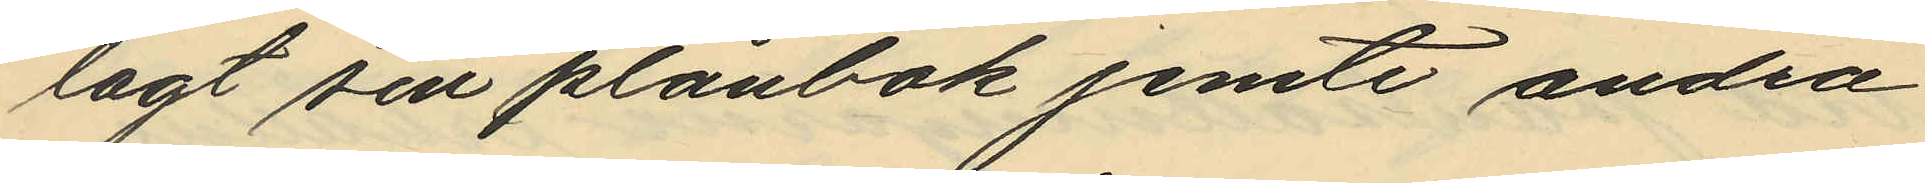lagt sin plånbok jemte andra
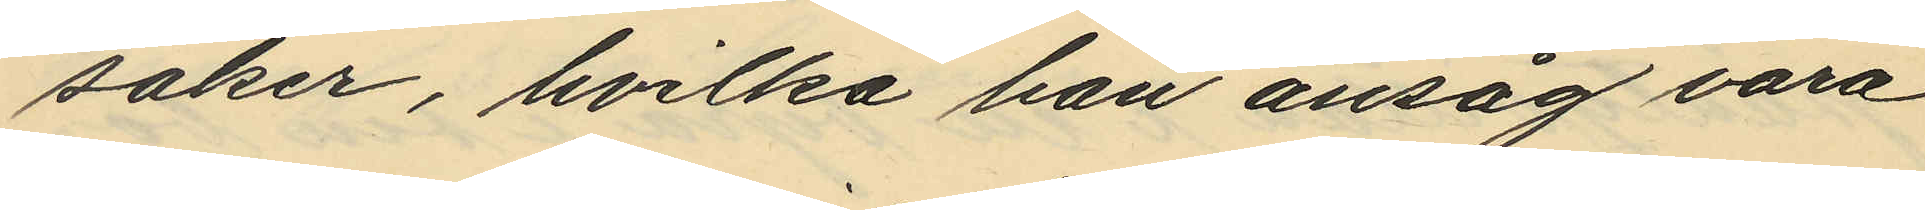saker, hvilka han ansåg vara
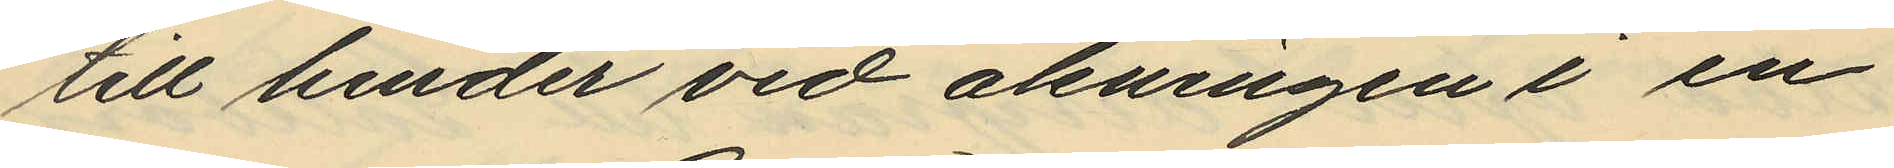till hinder vid åkningen i en
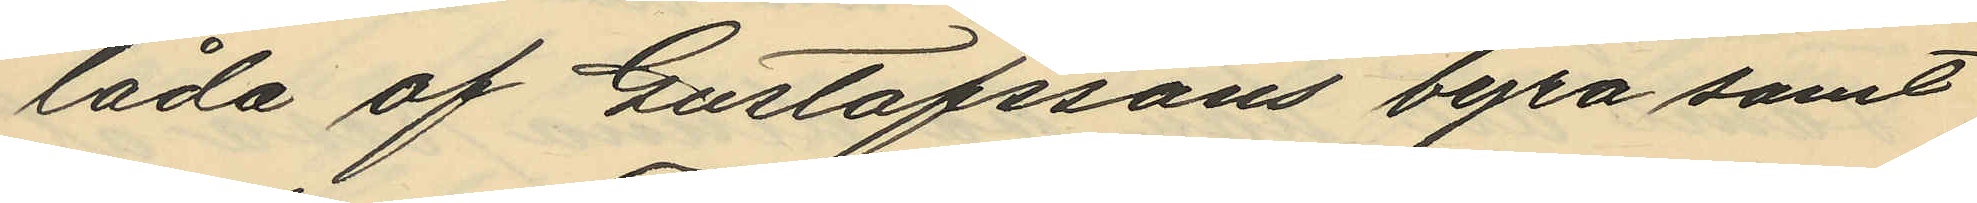låda af Gustafssons byrå samt
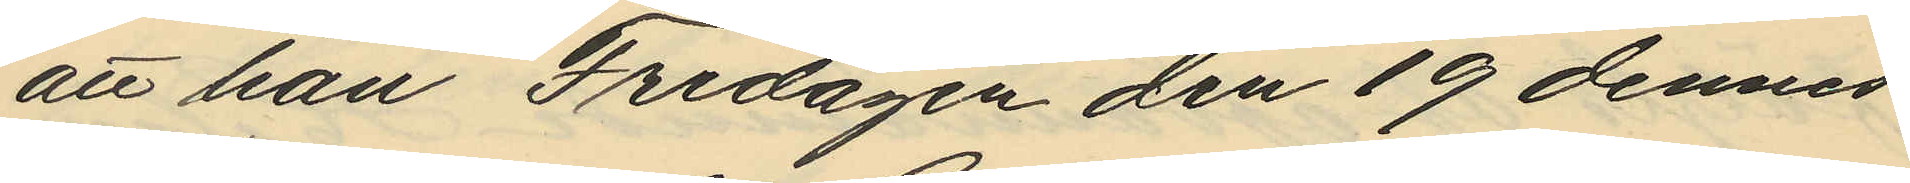att han Fredagen den 19 dennes
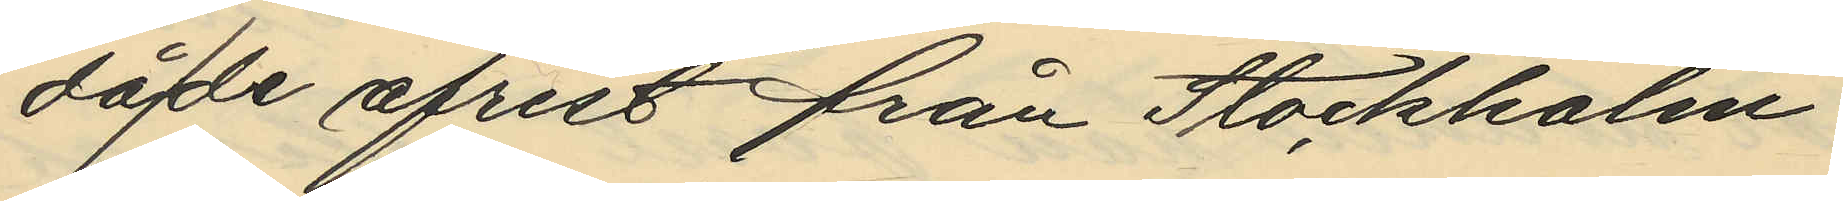då de afrest från Stockholm
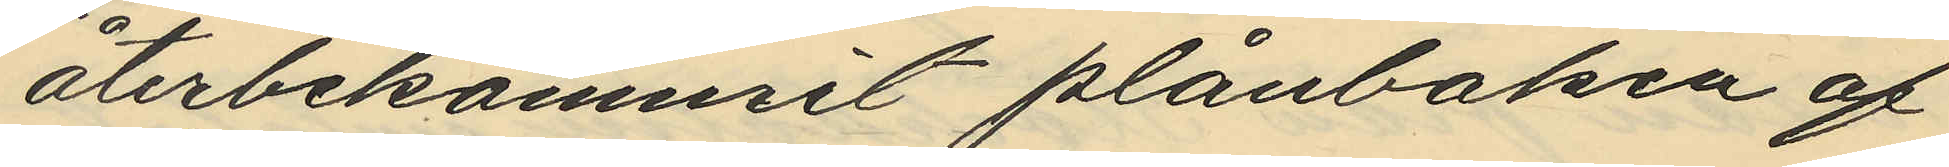återbekommit plånboken af
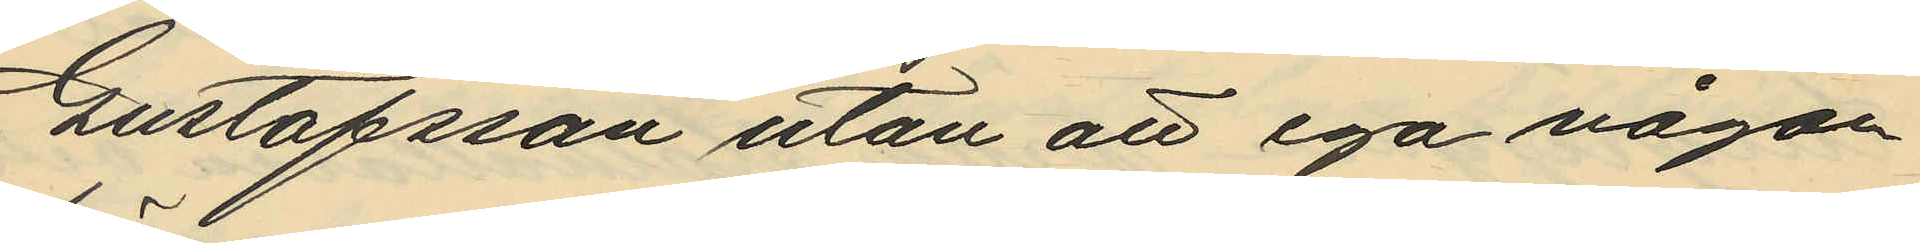Gustafsson utan att ega någon
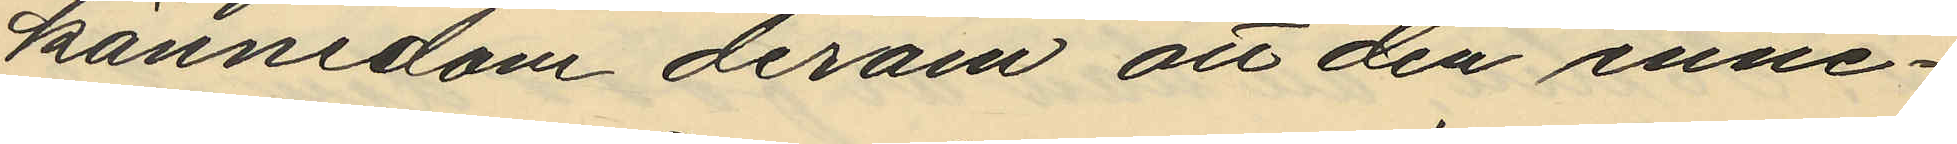kännedom derom att den inne¬
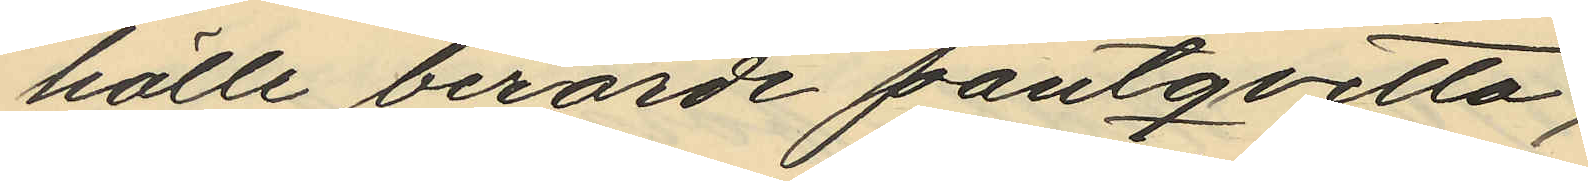hölle berörde pantqvitto,
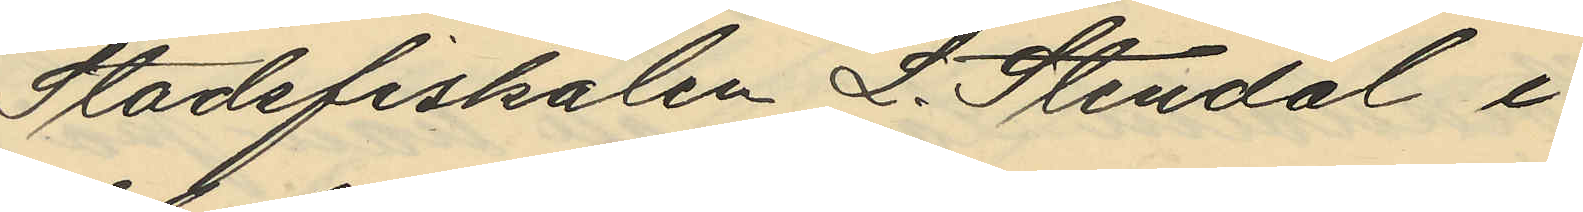Stadsfiskalen L. Stendal i
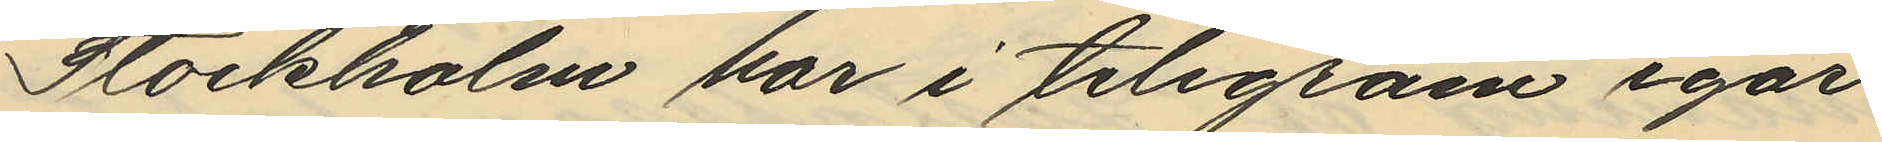Stockholm har i telegram igår
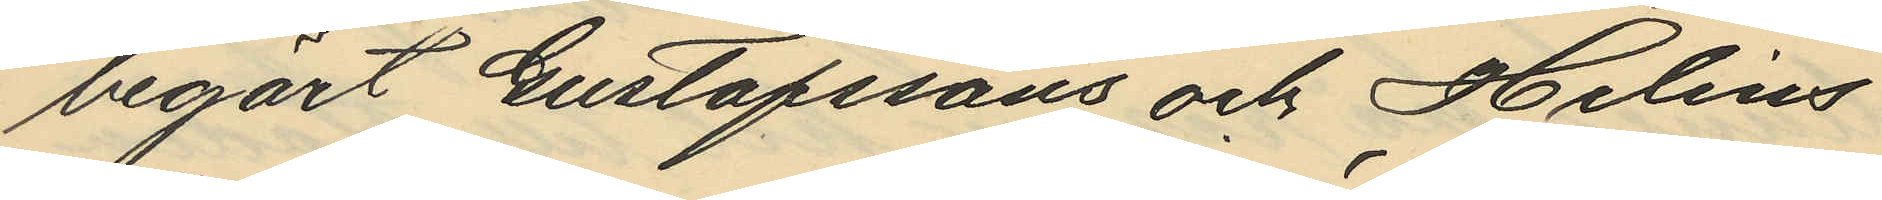begärt Gustafssons och Helins
